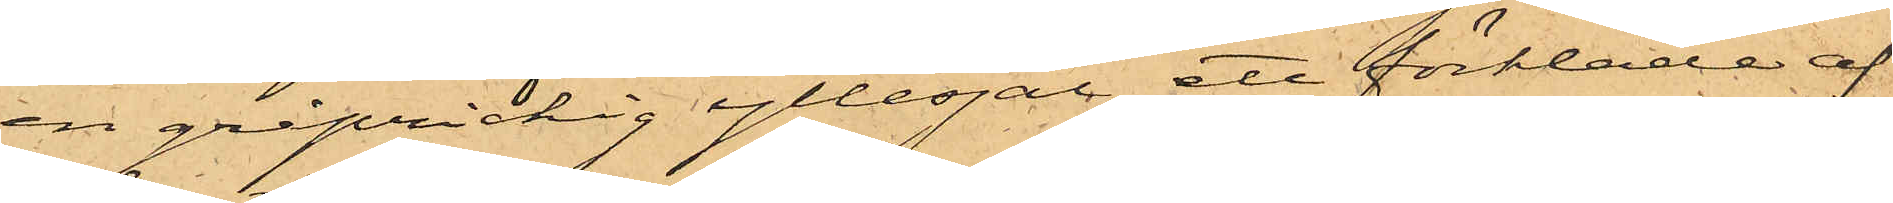en gråprickig yllesjal, ett förkläde af
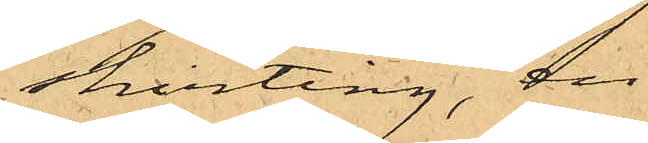skirting, en
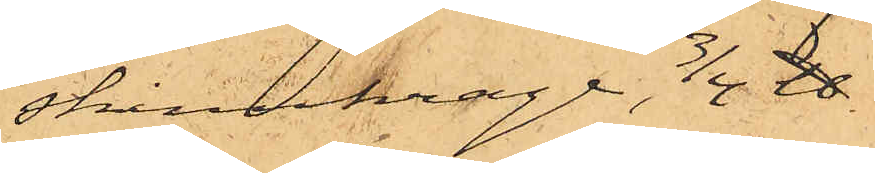skinnkrage, 3/4 ℔
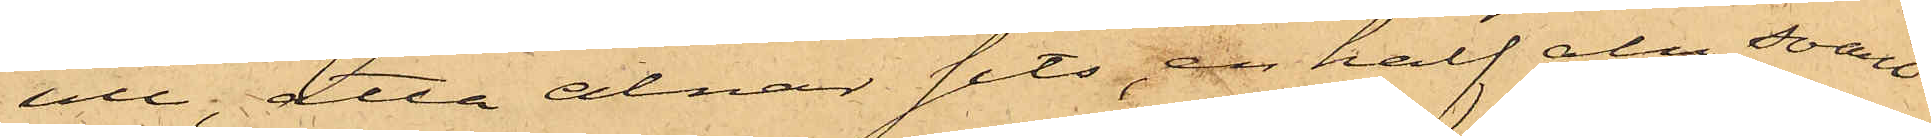ull, åtta alnar sits, en half aln svart
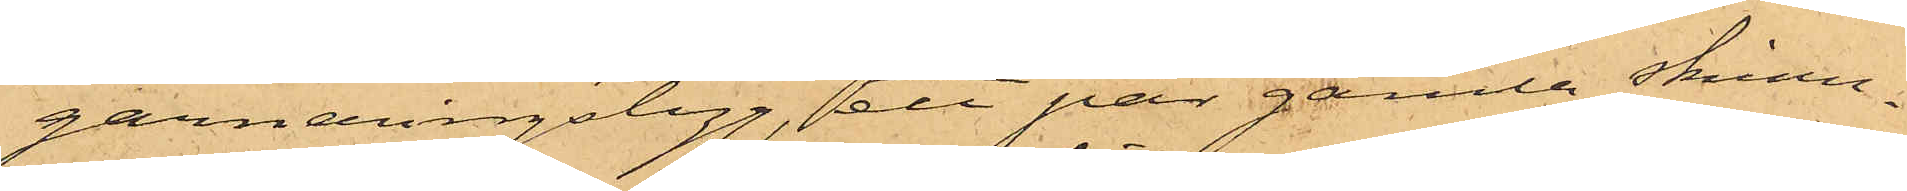garneringstyg, ett par gamla skinn¬
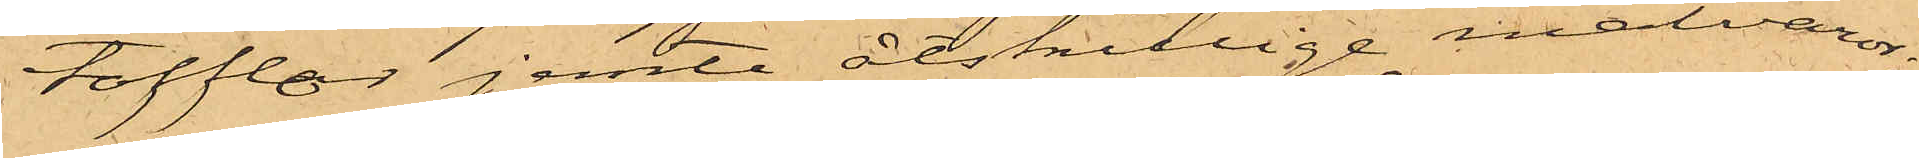tofflor jemte åtskillige matvaror;
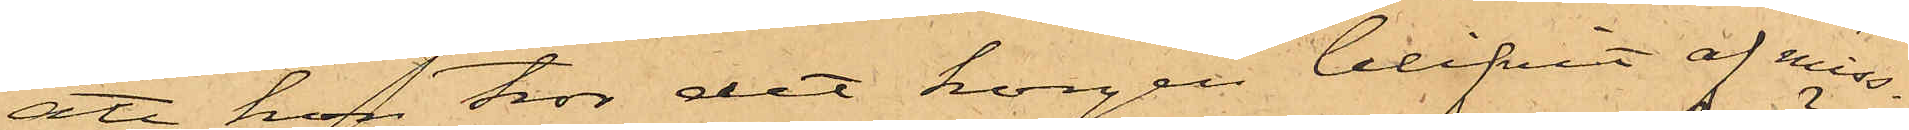att hon tror det korgen blifvit af miss¬
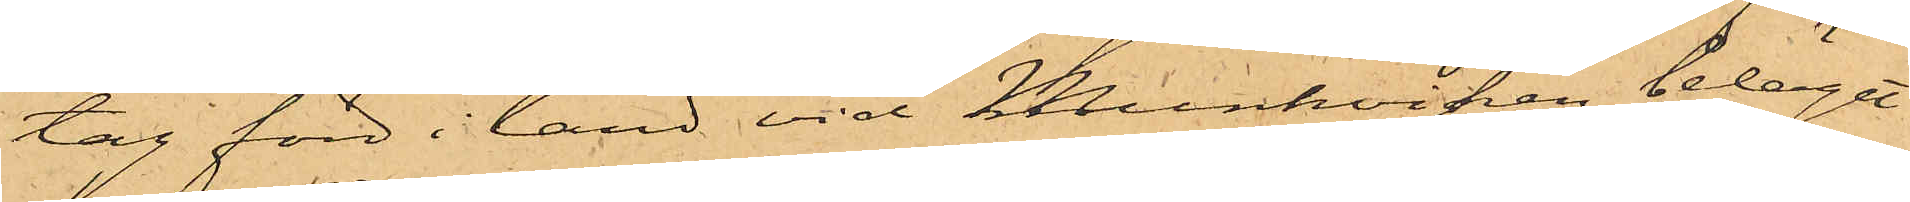tag förd i land vid Munkviken, beläget
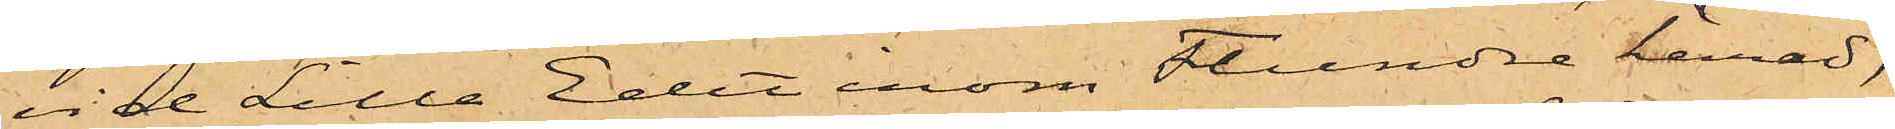vid Lilla Edet inom Flundre härad,
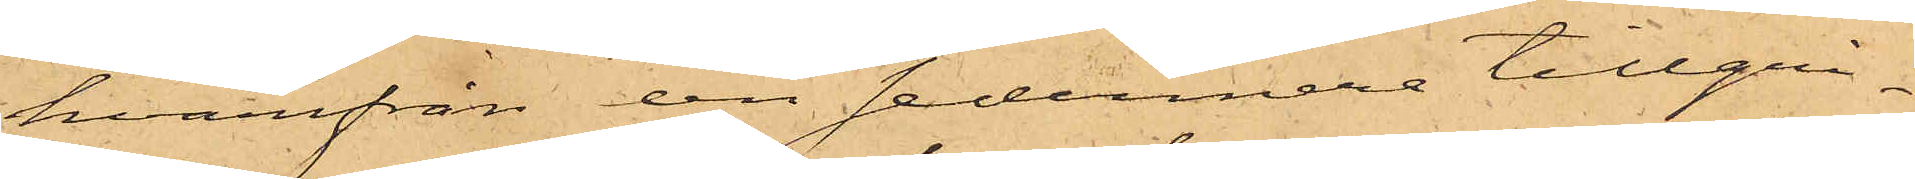hvarifrån den sednare tillgri¬
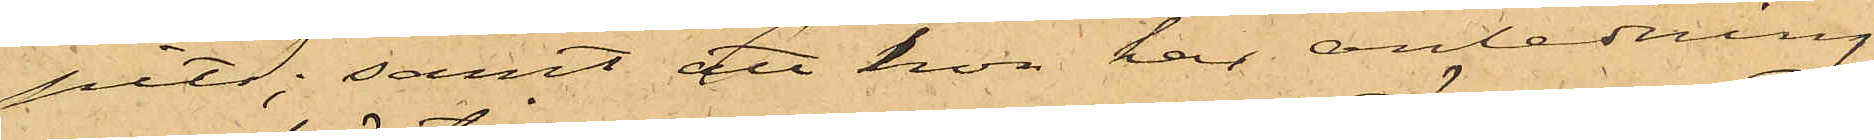pits; samt att hon har anledning
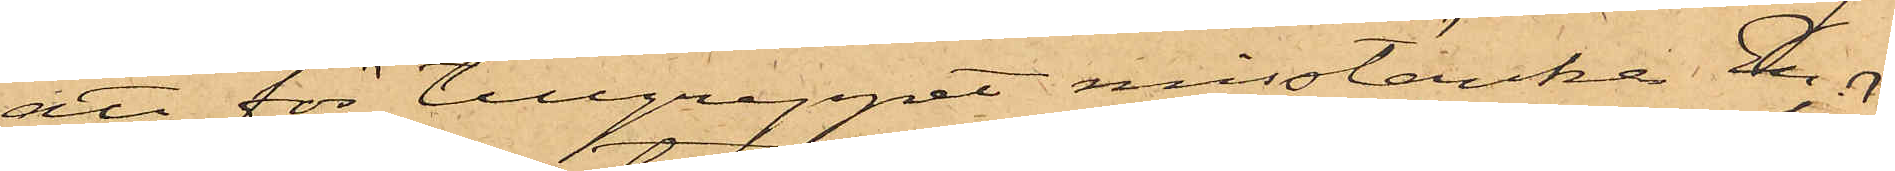att för tillgreppet misstänka En¬
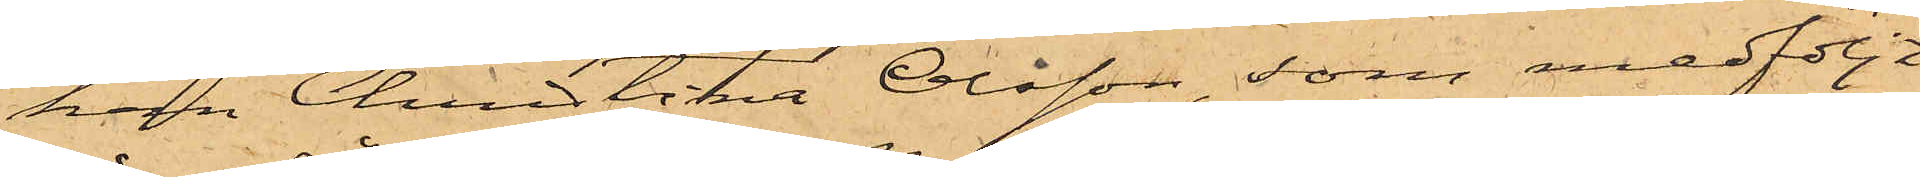kan Christina Olsson, som medföljt
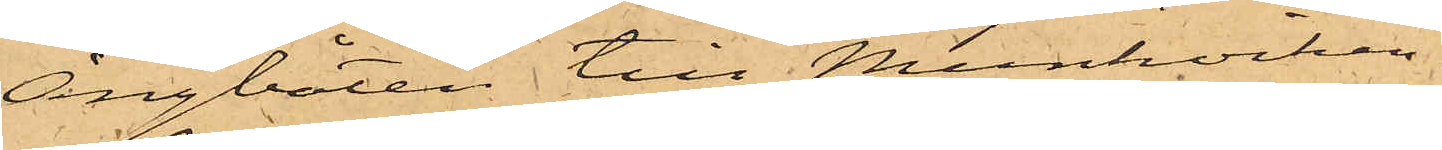Ångbåten till Munkviken.
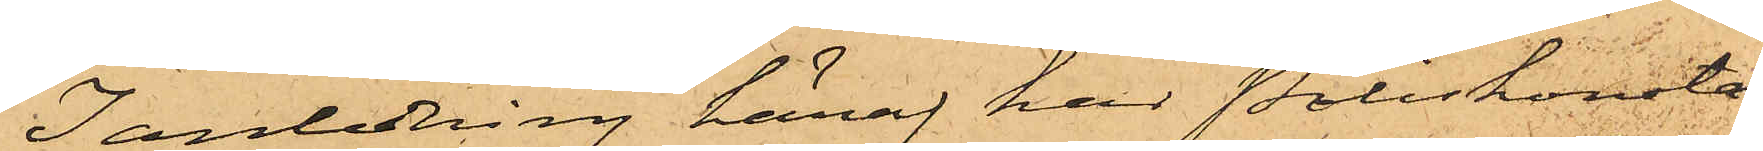I anledning häraf har Poliskonsta¬
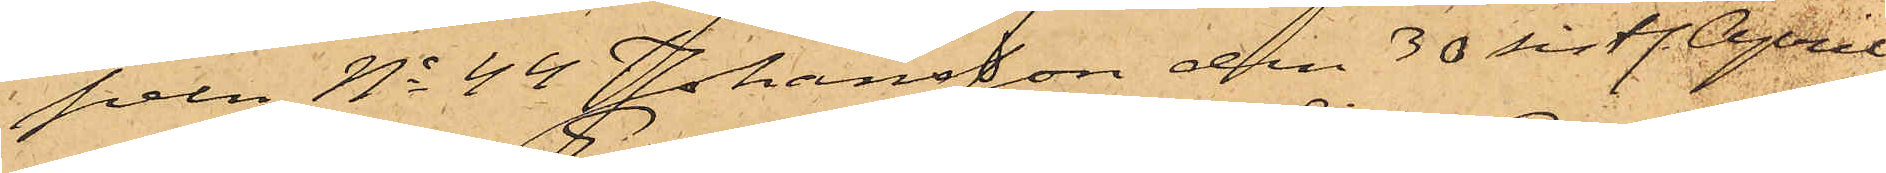peln No 44 Johansson den 30 sistl. April
